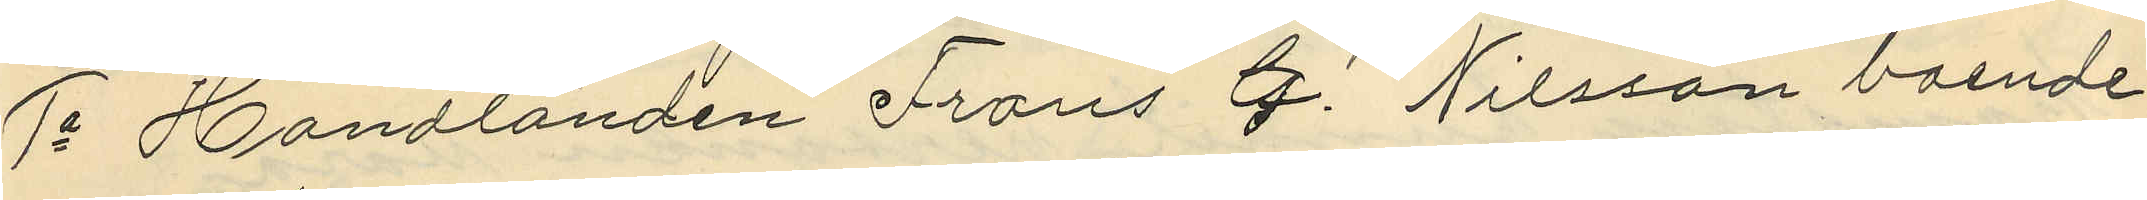1o Handlanden Frans G. Nilsson boende
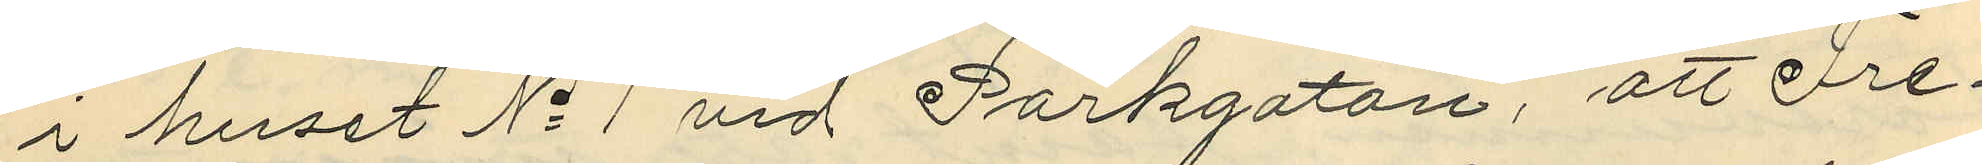i huset No 1 vid Parkgatan, att Fre¬
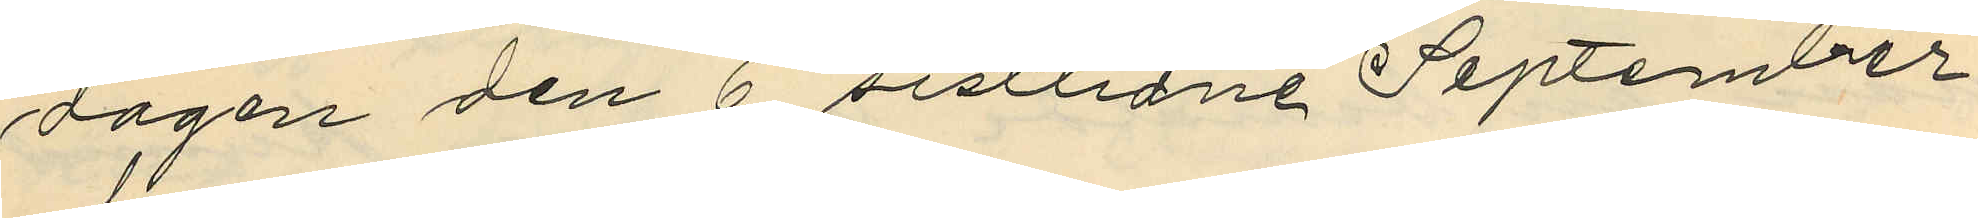dagen den 6 sistlidne September
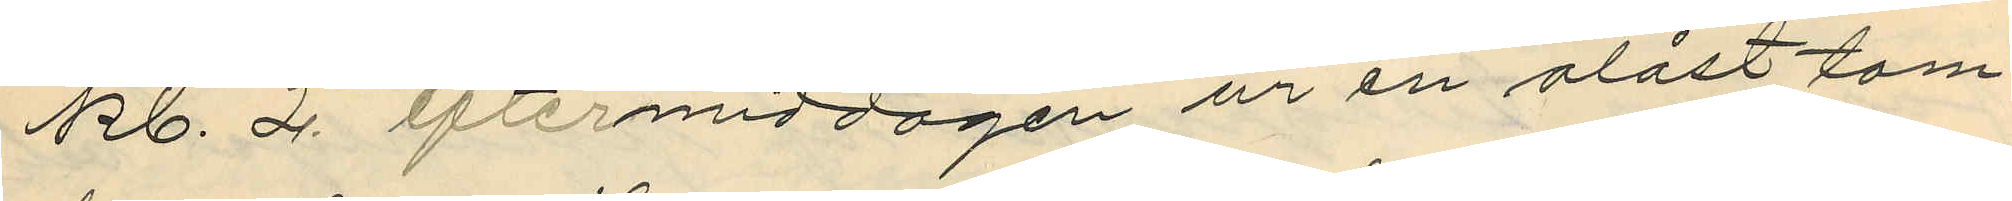kl. 2 eftermiddagen ur en olåst tam¬
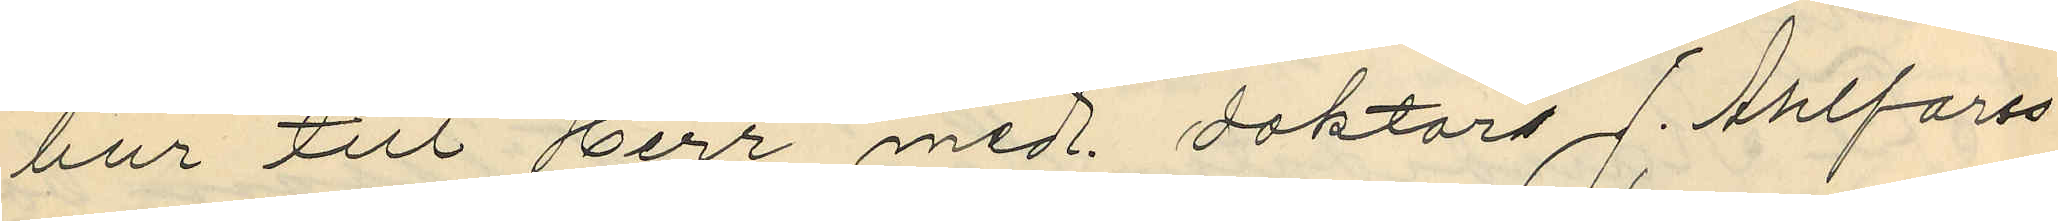bur till Herr med. doktors J. Ahlforss
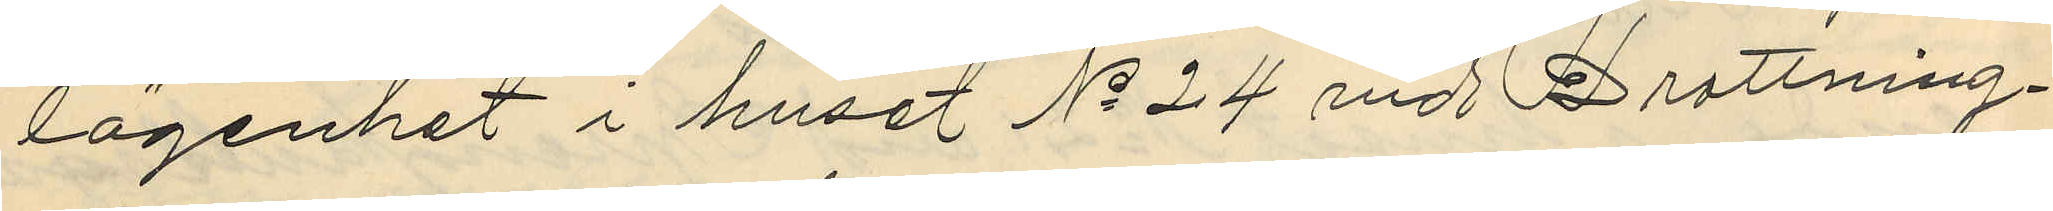lägenhet i huset No 24 vid Drottning¬
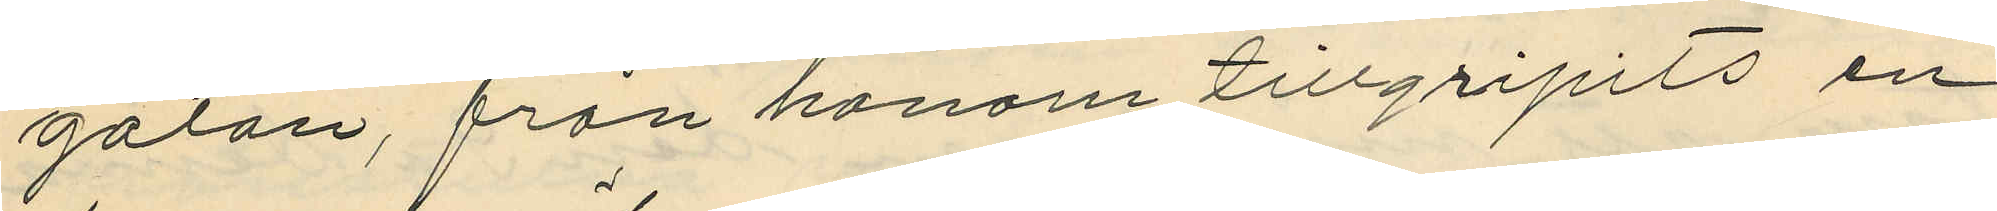gatan, från honom tillgripits en
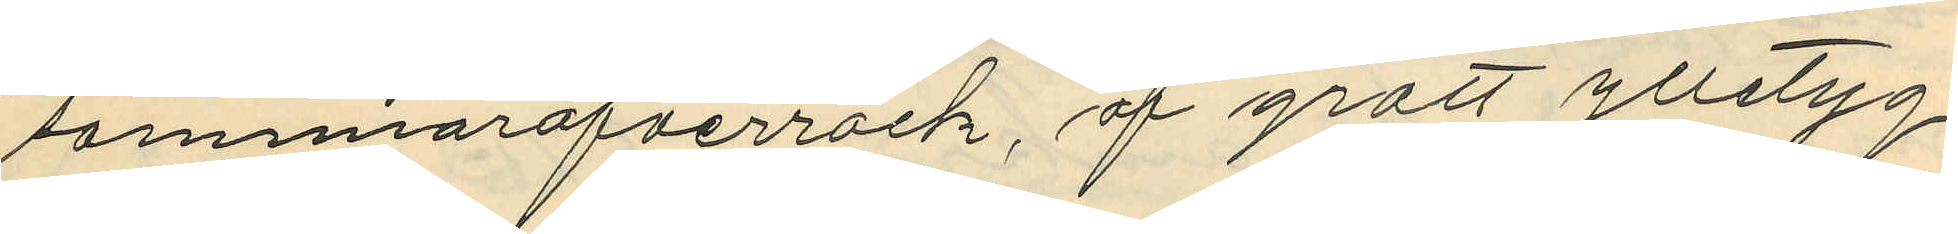sommaröfverrock, af grått ylletyg
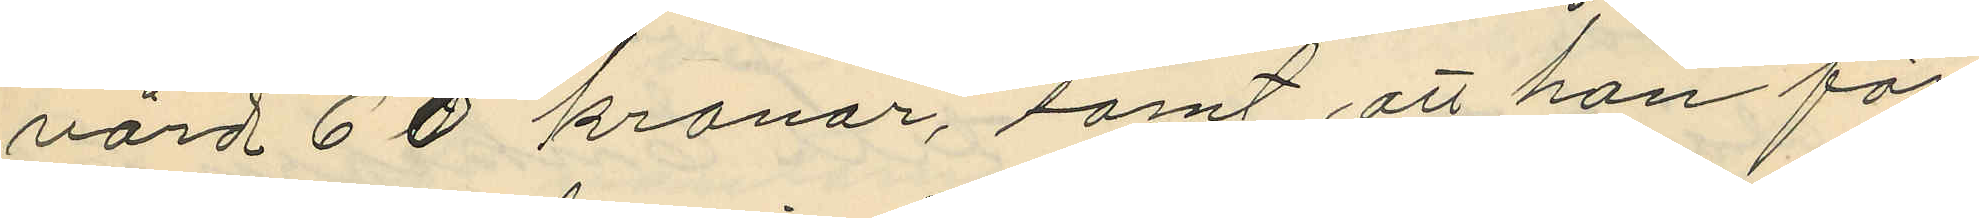värd 60 kronor, samt att han för
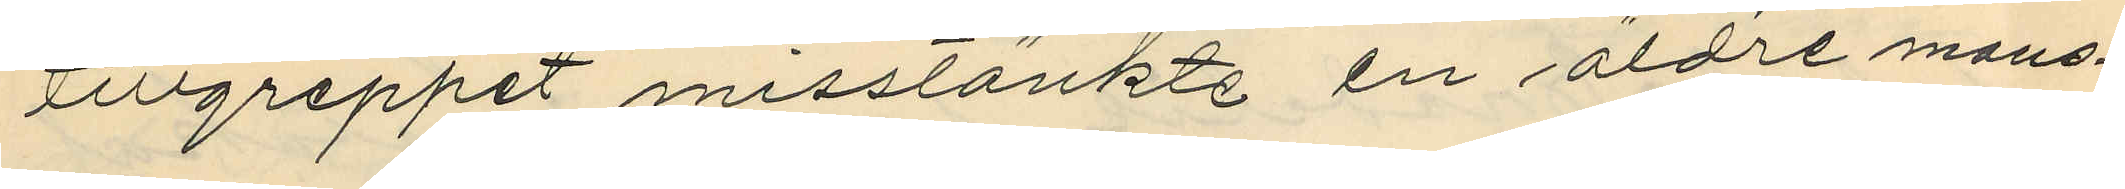tillgreppet misstänkte en äldre mans¬
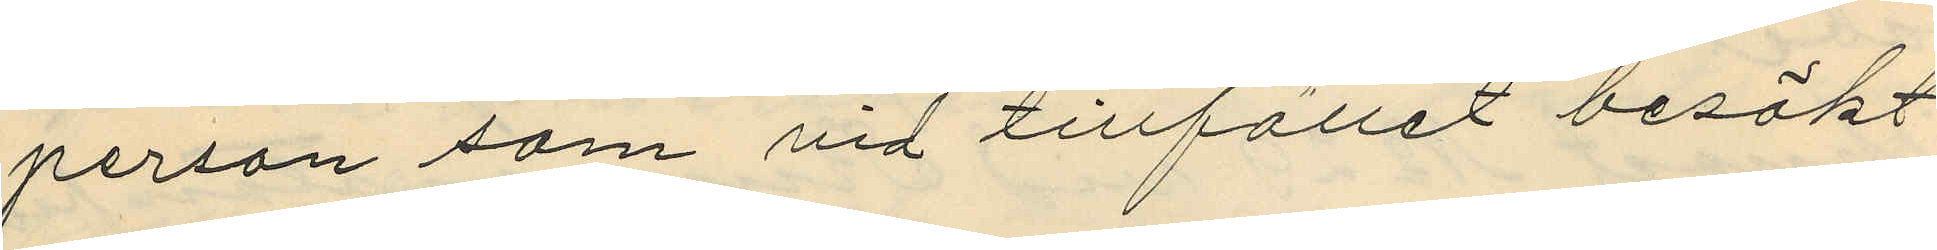person som vid tillfället besökt
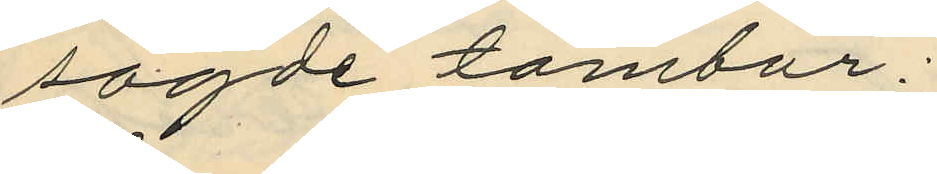sagde tambur;
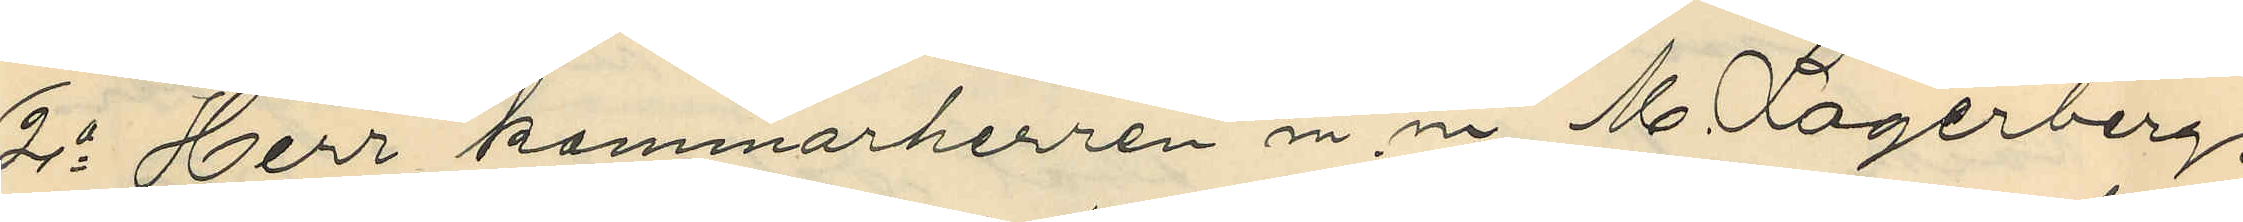2o Herr kammarherren m. m. M. Lagerberg,
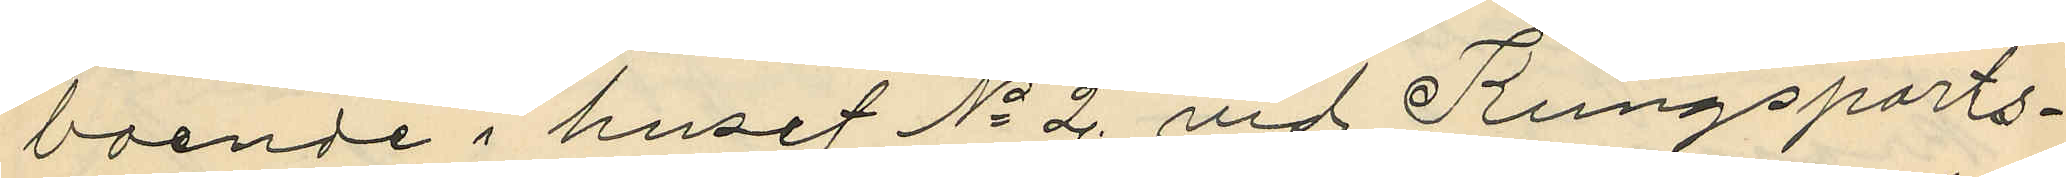boende i huset No 2 vid Kungsports¬
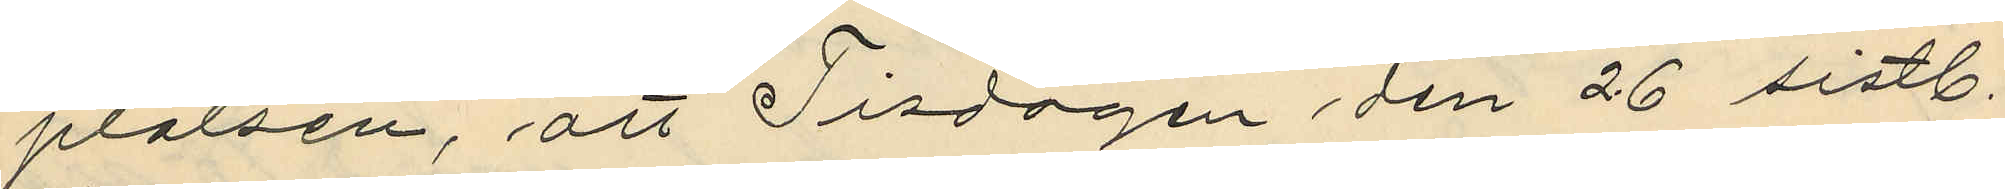platsen, att Tisdagen den 26 sistl.
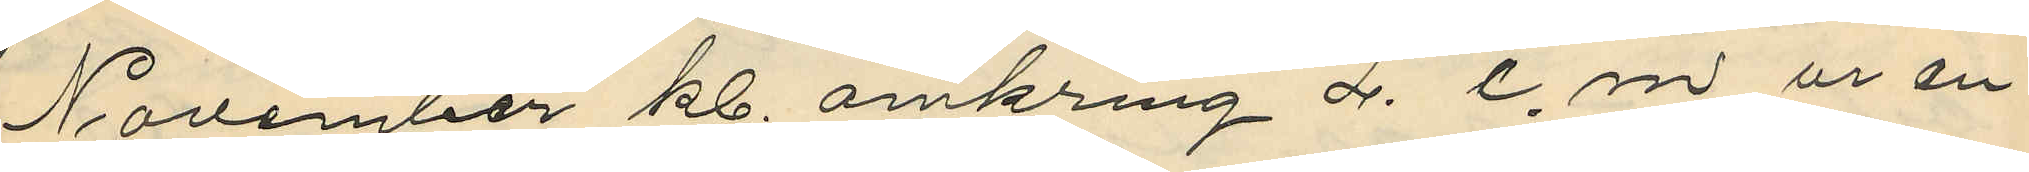November kl. omkring 2. e.m. ur en
